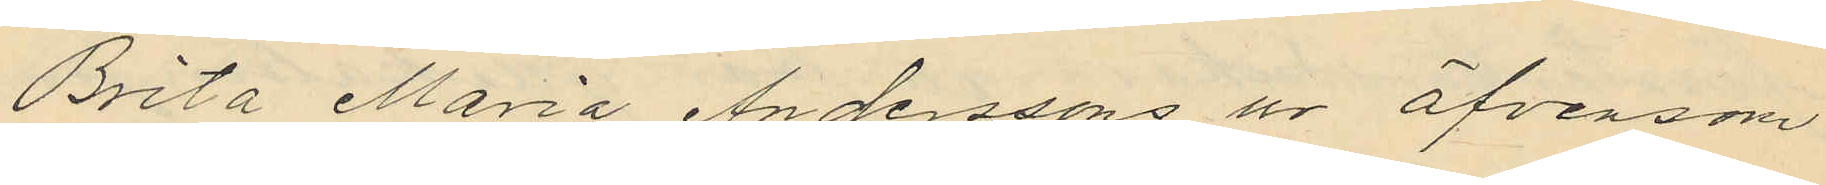Brita Maria Anderssons ur äfvensom
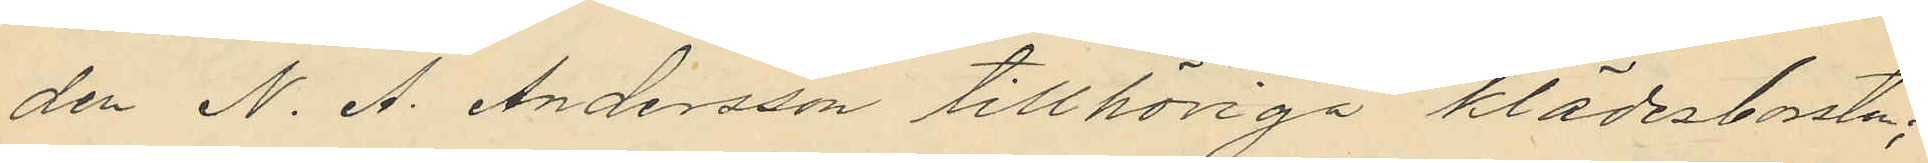den N. A. Andersson tillhöriga klädesbosten;
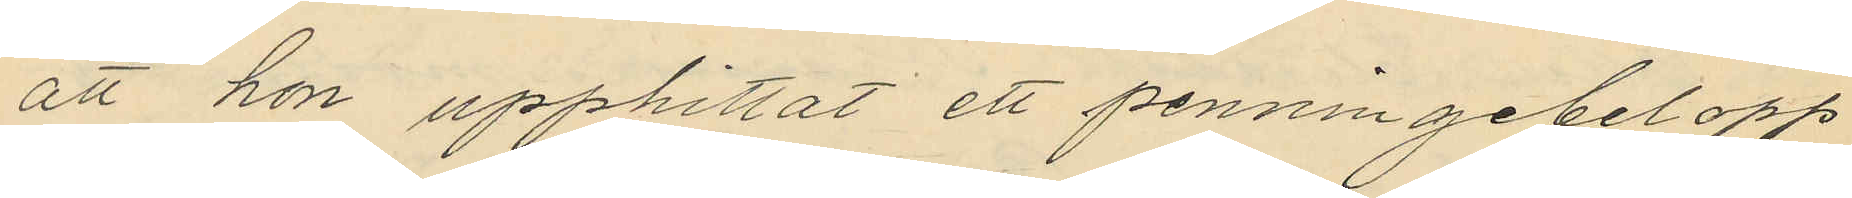att hon upphittat ett penningebelopp
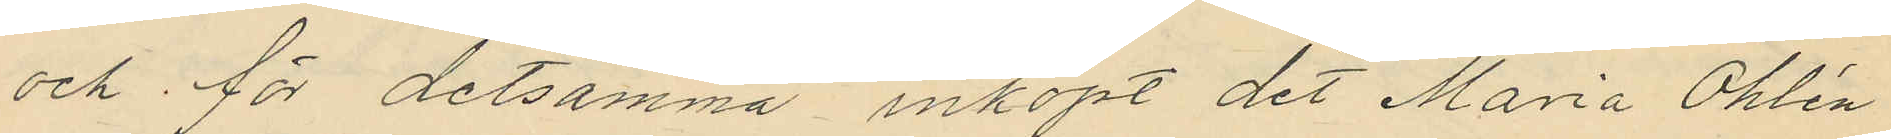och för detsamma inköpt det Maria Öhlén
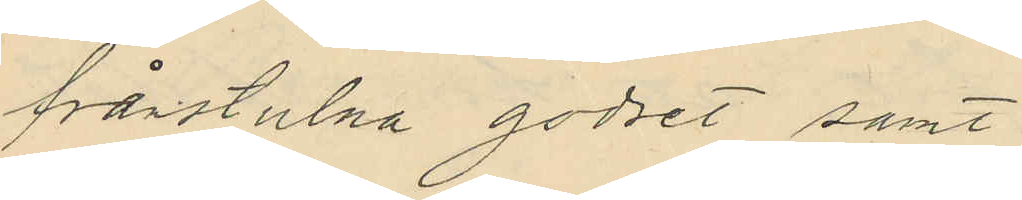frånstulna godset samt
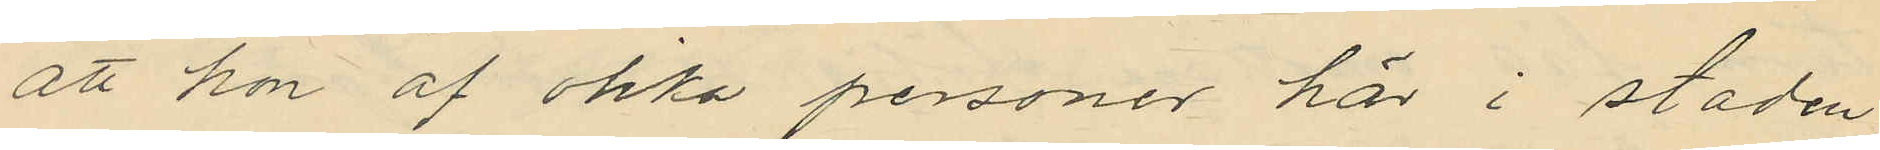att hon af olika personer här i staden
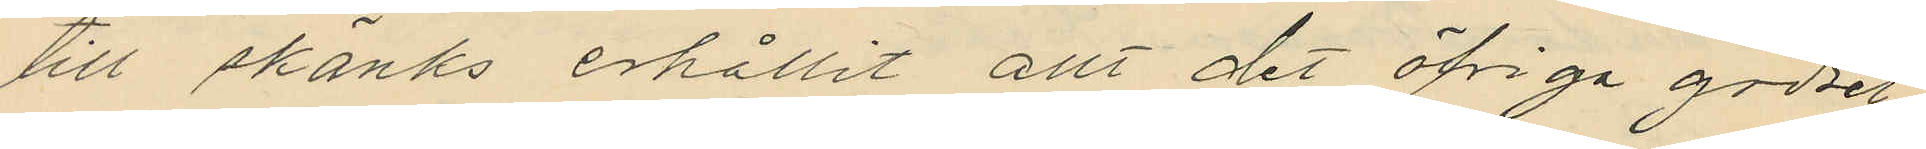till skänks erhållit allt det öfriga godset
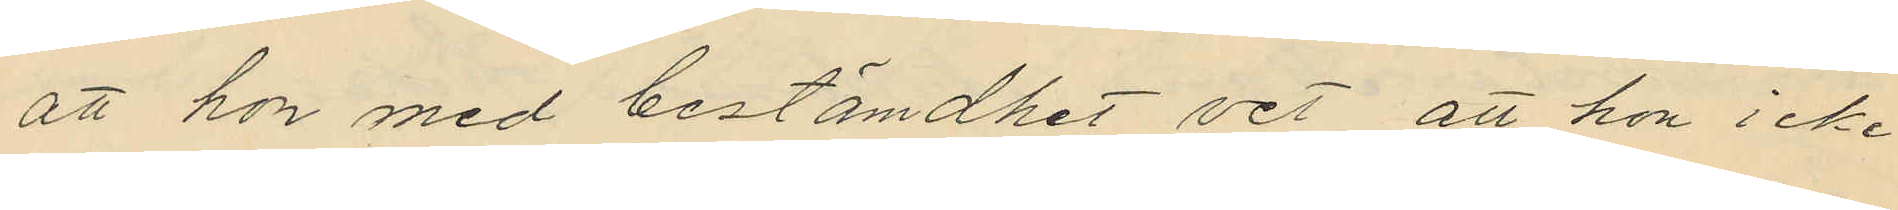att hon med bestämdhet vet, att hon icke
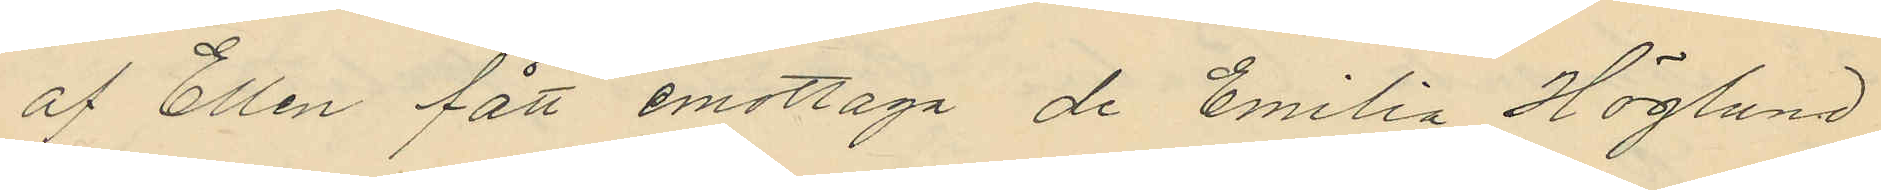af Ellen fått emottaga de Emilia Höglund
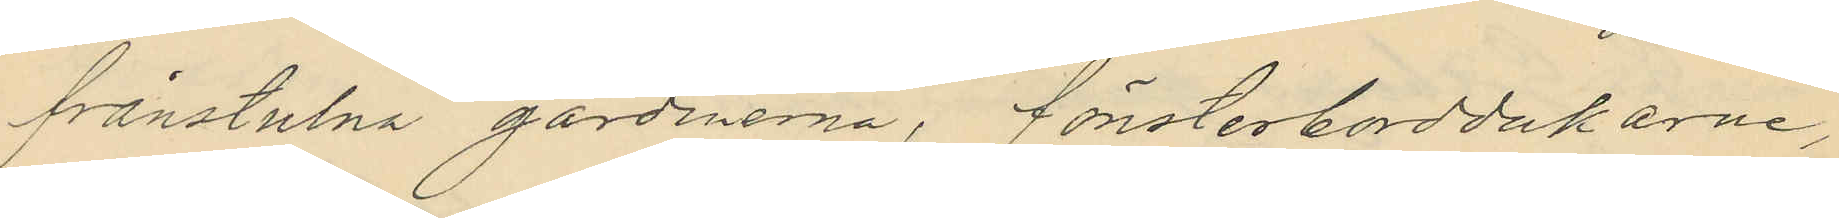frånstulna gardinerna, fönsterborddukarne,
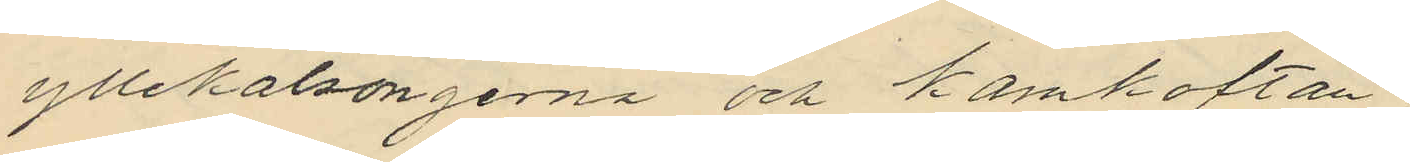yllekalsongerna och kamkoftan;
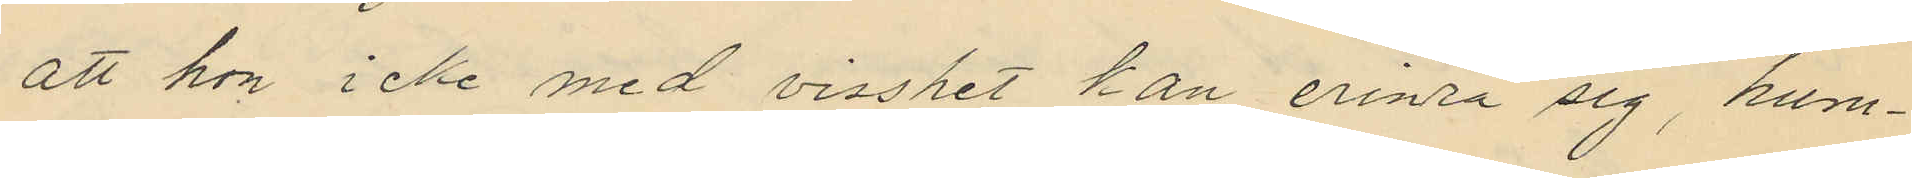att hon icke med visshet kan erinra sig, huru¬
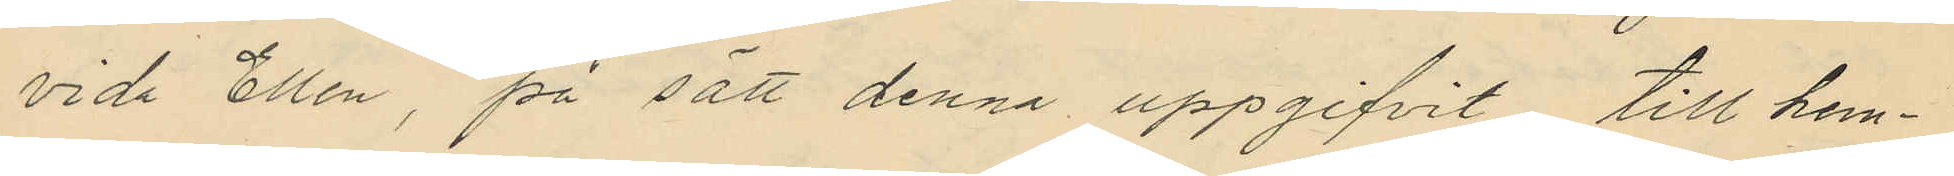vida Ellen, på sätt denna uppgifvit till hem¬
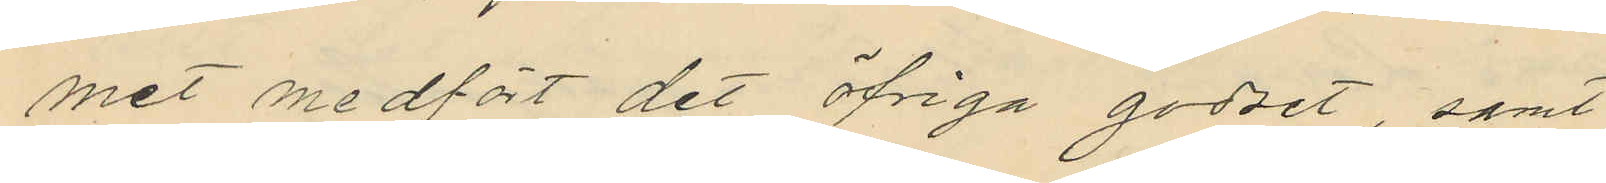met medfört det öfriga godset, samt
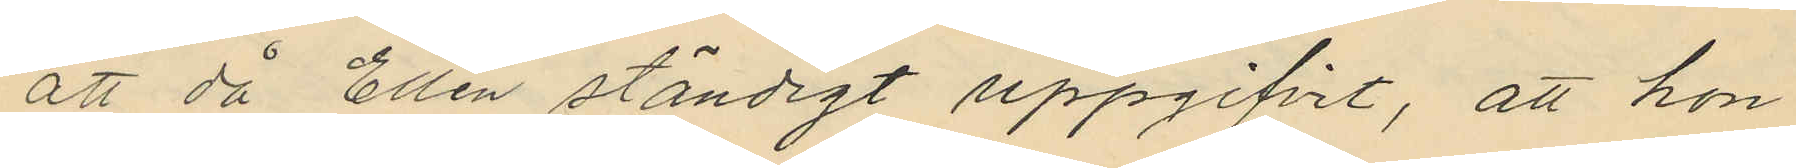att då Ellen ständigt uppgifvit, att hon
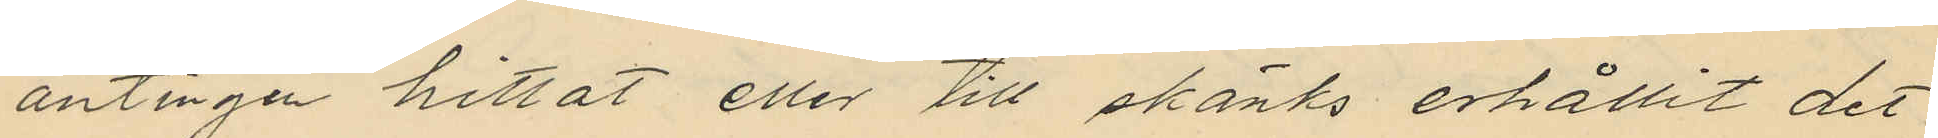antingen hittat eller till skänks erhållit det
